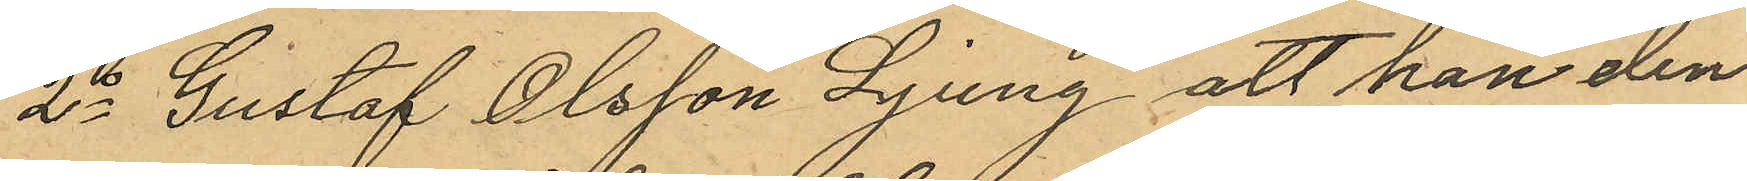2o Gustaf Olsson Ljung att han den
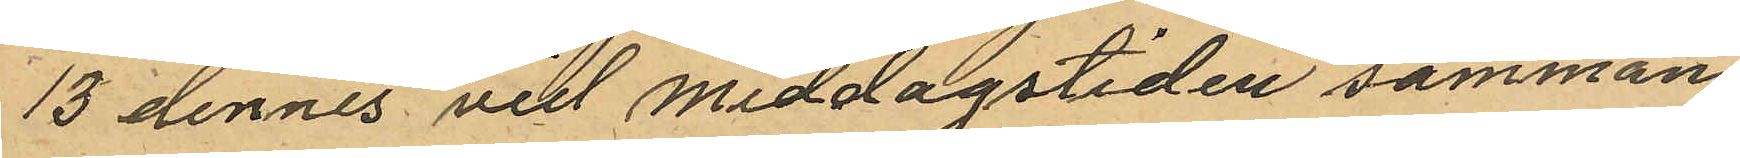13 dennes vid middagstiden samman¬
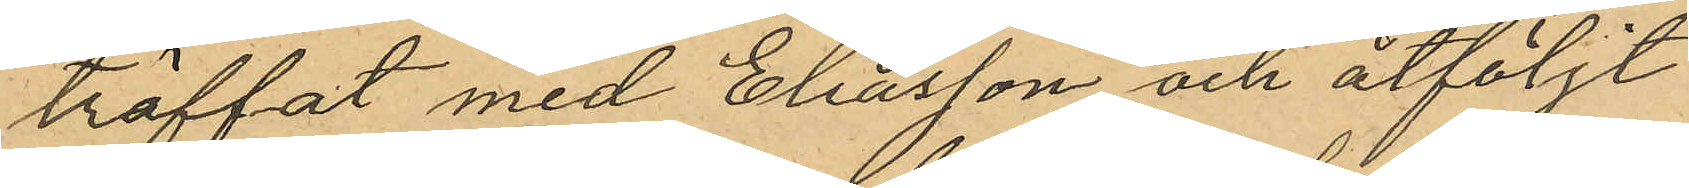träffat med Eliasson och åtföljt
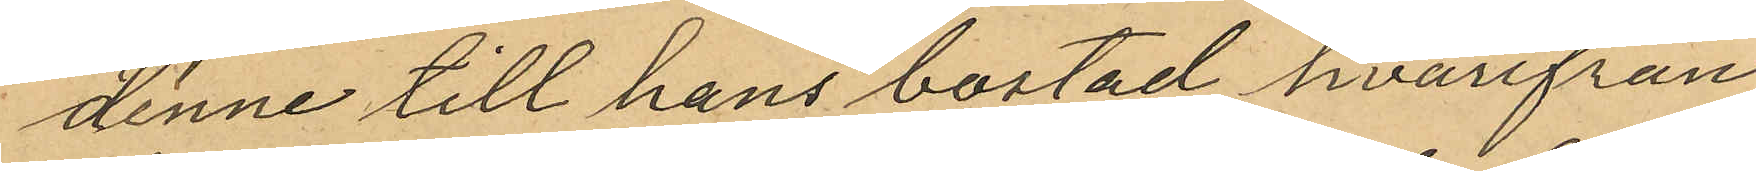denne till hans bostad hvarifrån
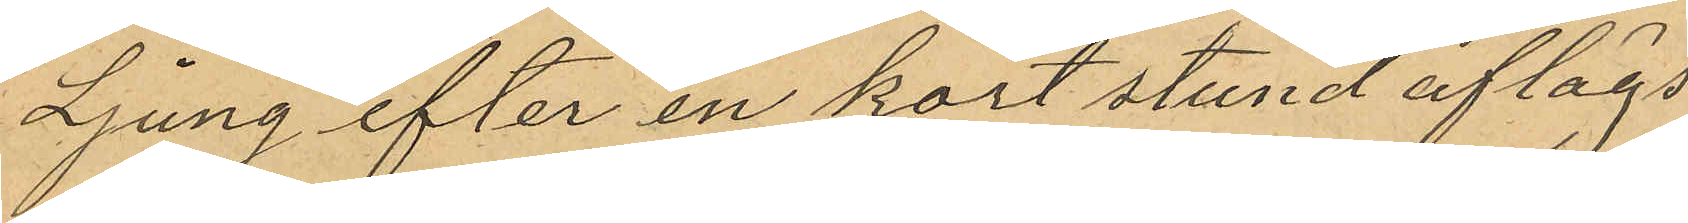Ljung efter en kort stund aflägs¬
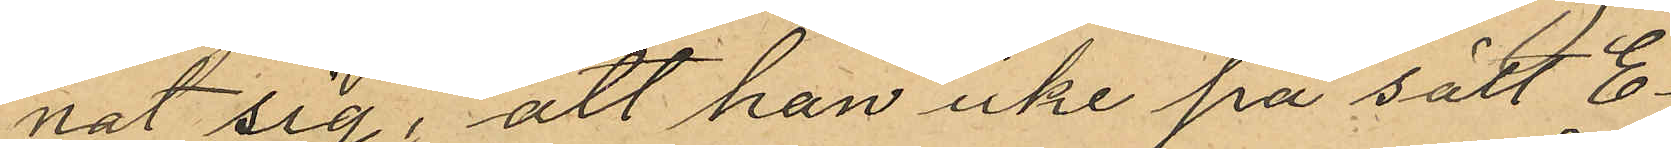nat sig; att han icke på sätt E¬
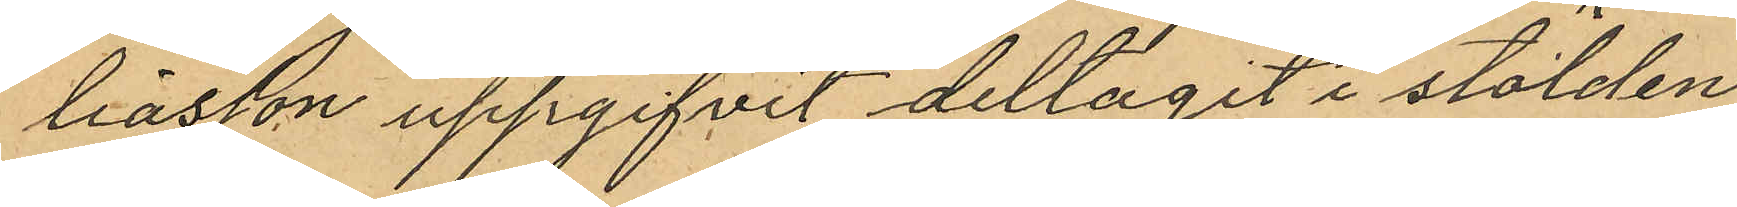liasson uppgifvit deltagit i stölden
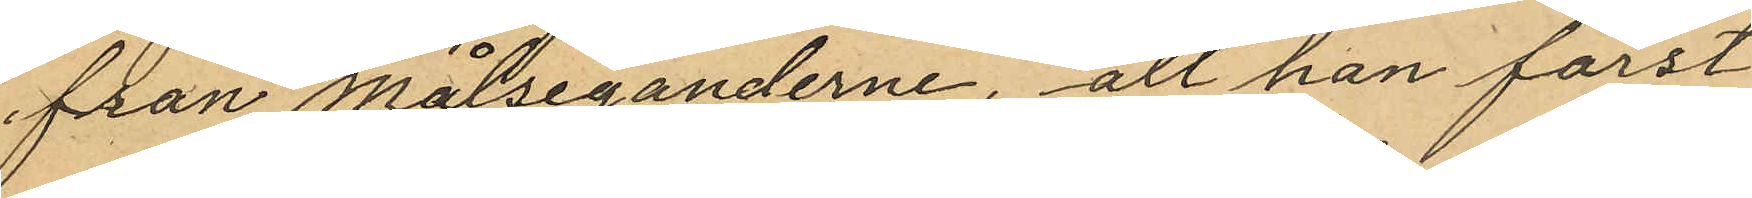från Målseganderne, att han först
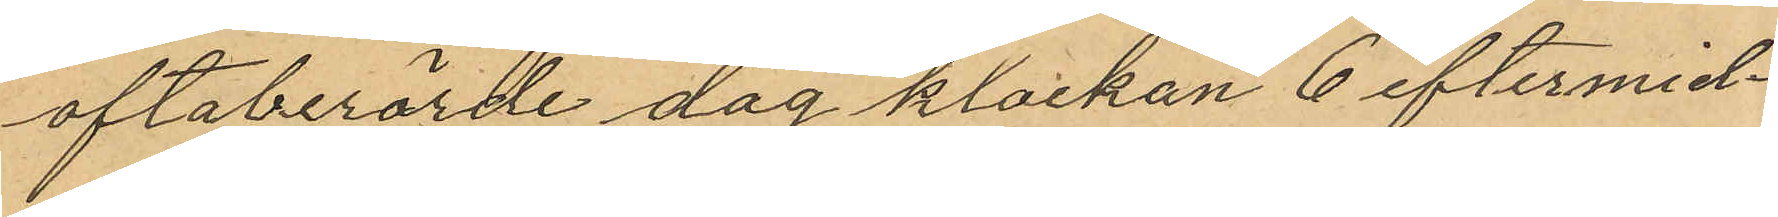oftaberörde dag klockan 6 eftermid¬
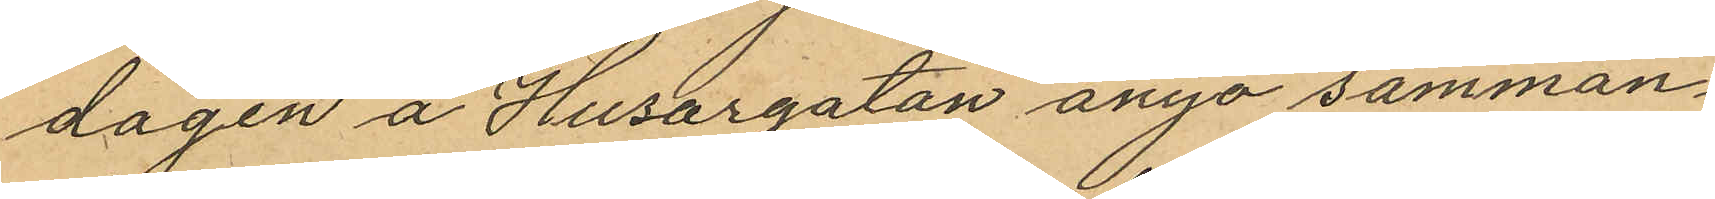dagen å Husargatan ånyo samman¬
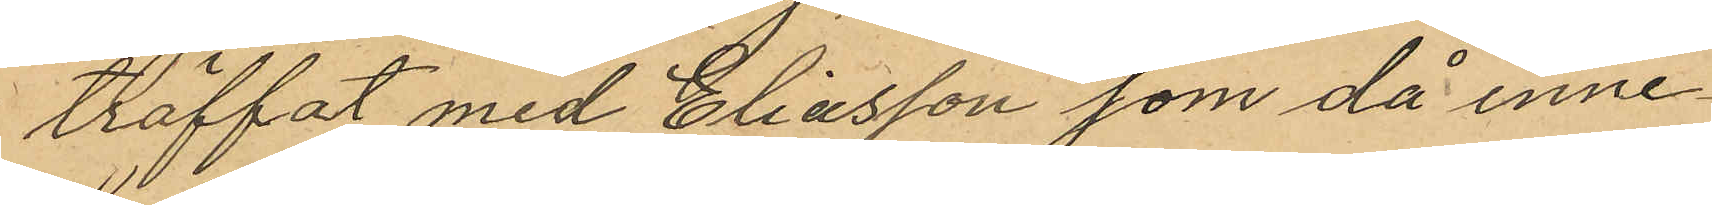träffat med Eliasson som då inne¬
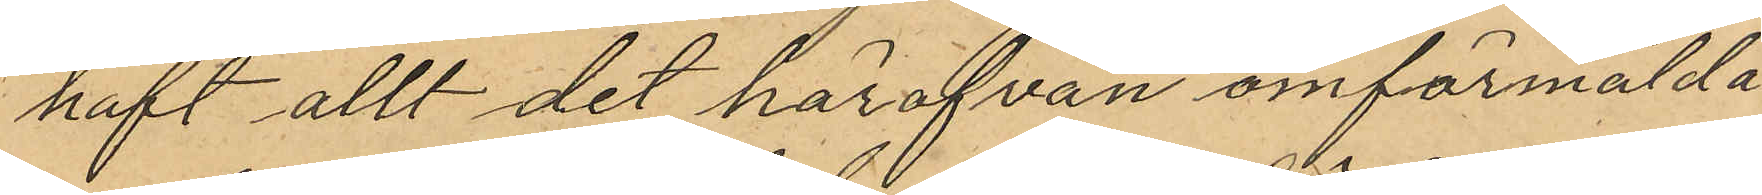haft allt det härofvan omförmälda
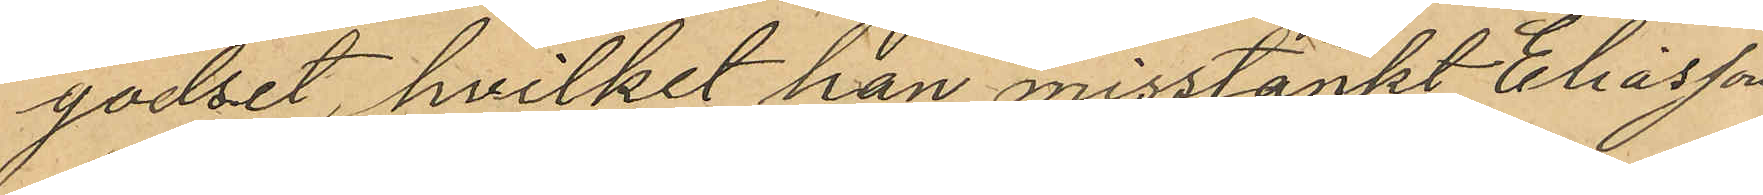godset, hvilket han misstänkt Eliasson
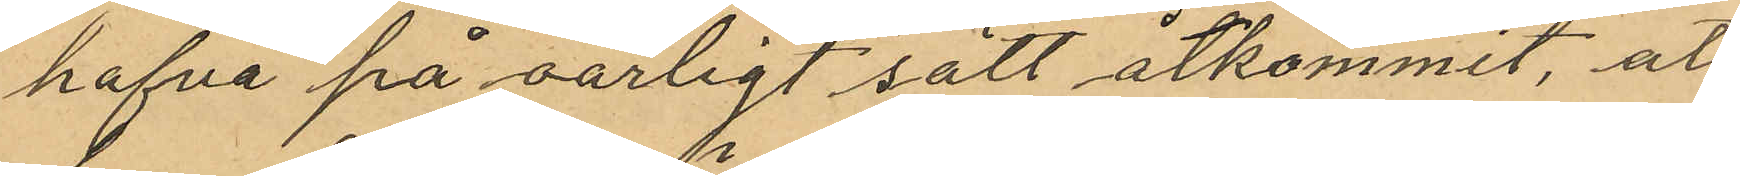hafva på oärligt sätt åtkommit, att
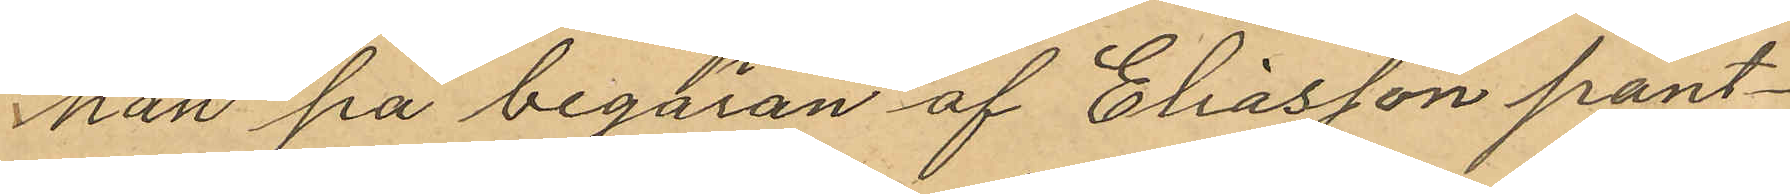han på begäran af Eliasson pant¬
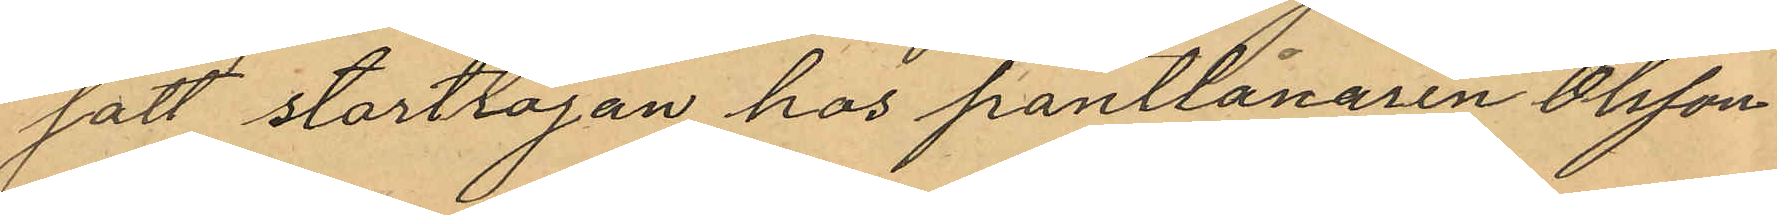satt stortröjan hos pantlånaren Olsson
